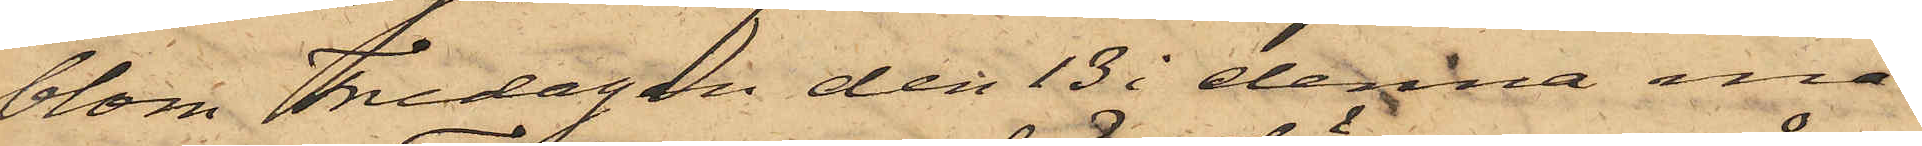blom Fredagen den 13 i denna må¬
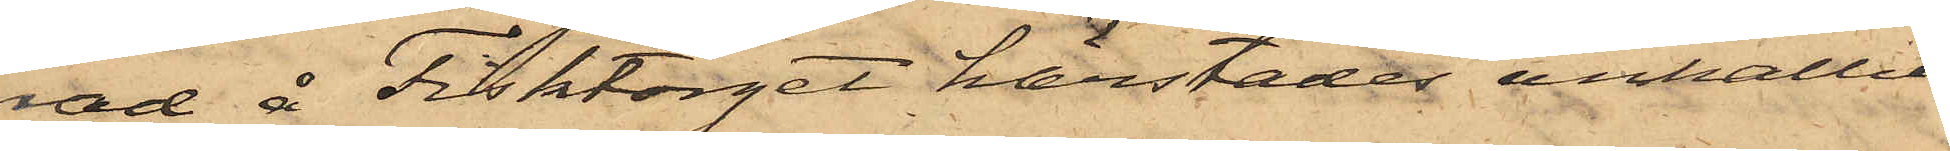nad å Fisktorget härstädes anhållit
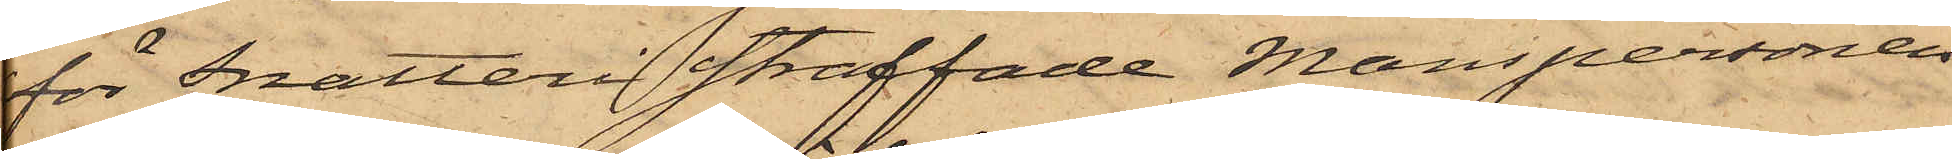för Snatteri straffade Manspersonen
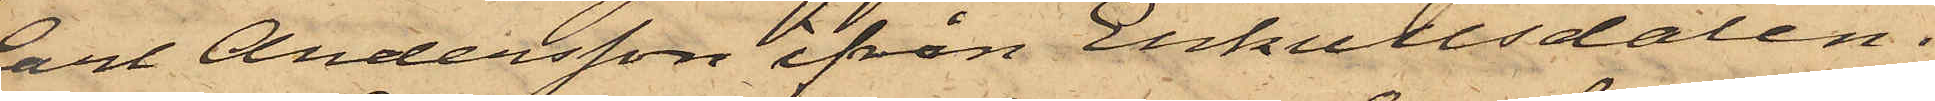Carl Andersson ifrån Enkullsdalen i
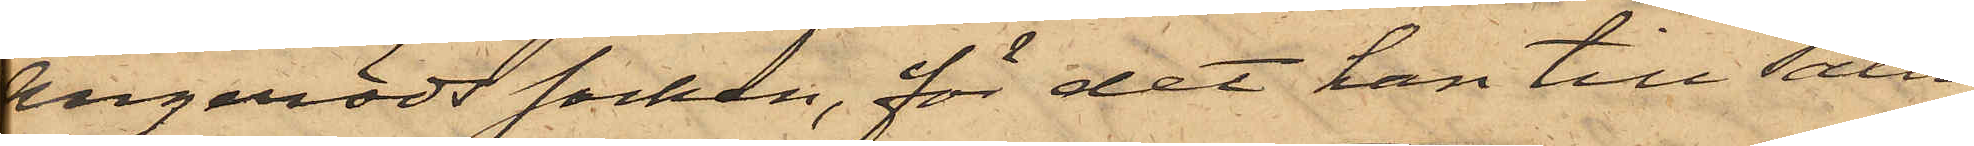Angeröds socken, för det han till salu
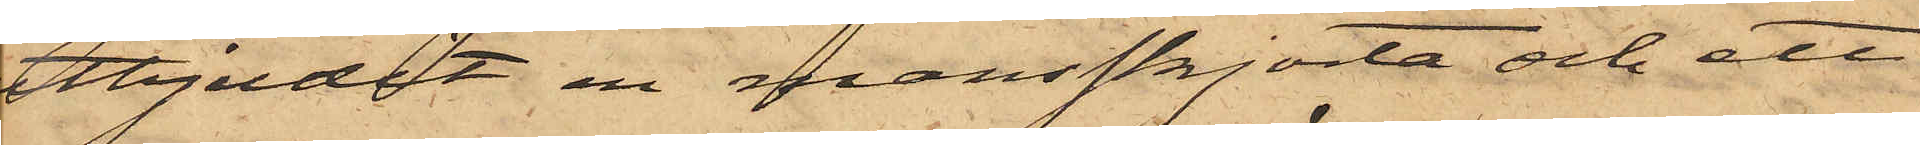utbjudit en mansskjorta och ett
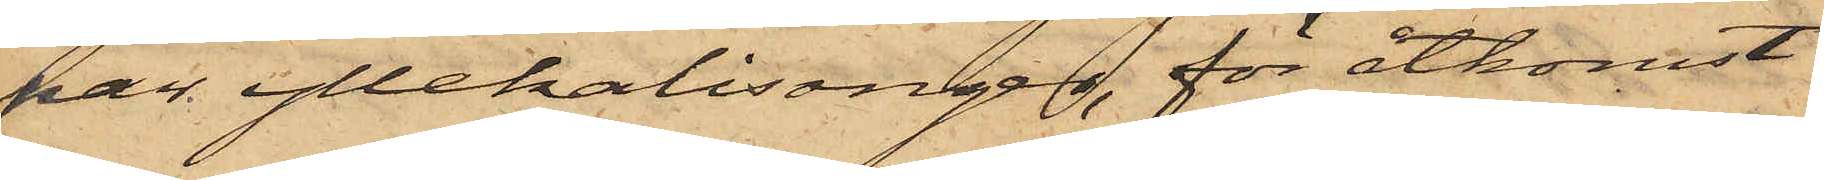par yllekalisongen, för åtkomst,
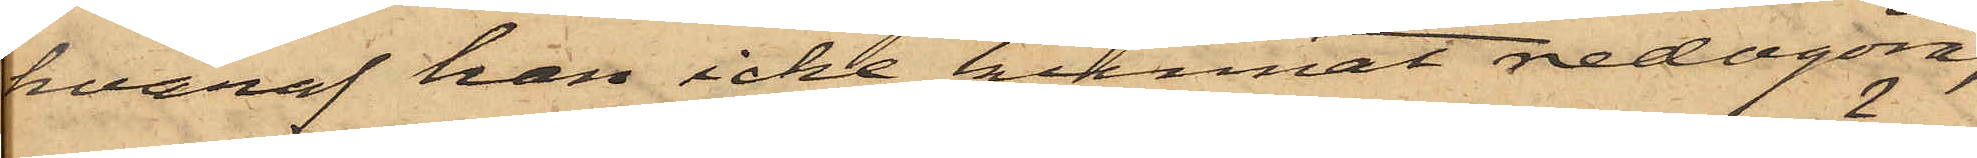hvaraf han icke kunnat redogöra,
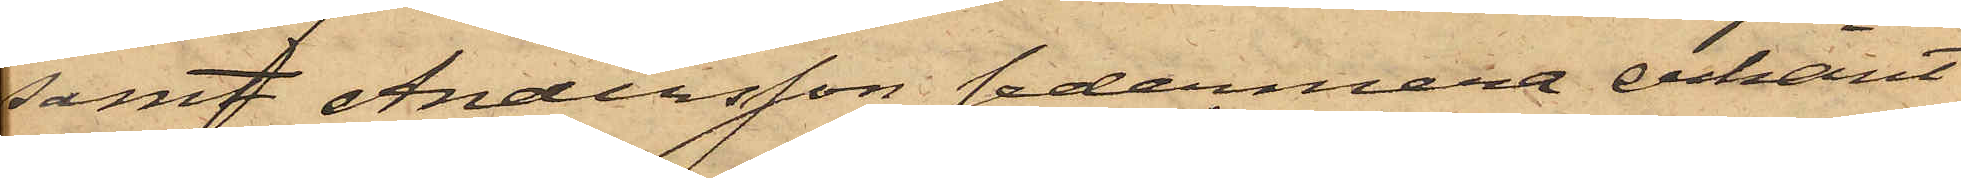samt Andersson sedermera erkänt
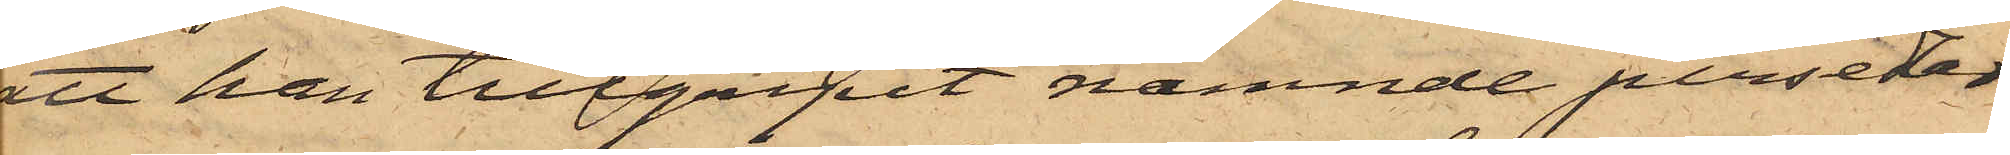att han tillgripit nämnde persedlar
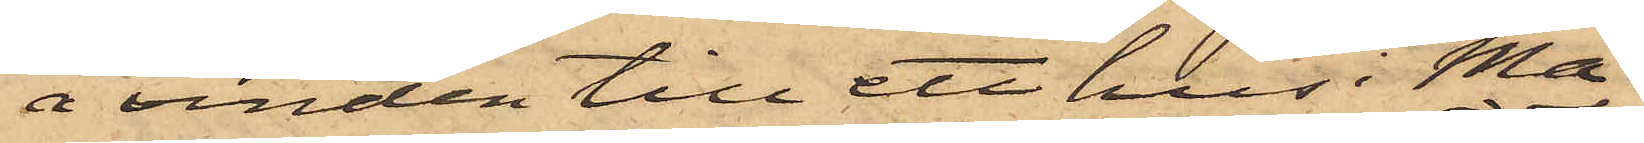å vinden till ett hus i Ma¬
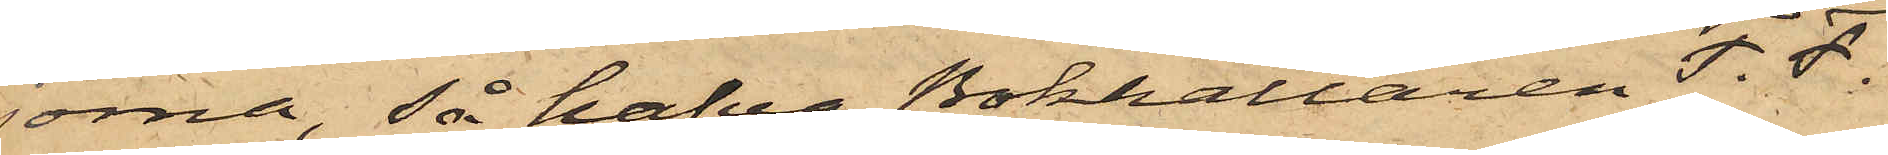jorna, så hafva Bokhållaren F. F.
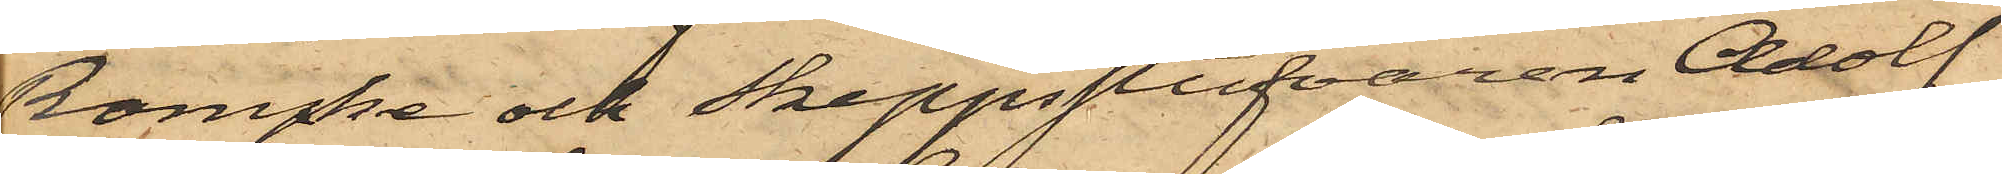Rompke och Skeppsskrifvaren Adolf
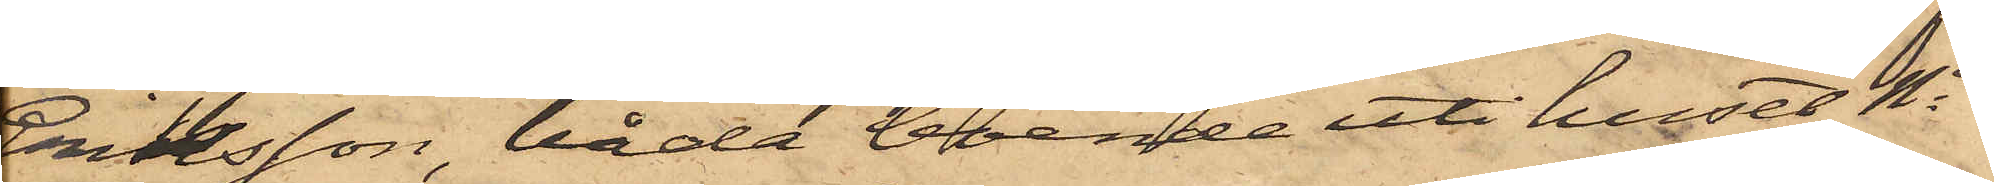Eriksson, båda boende uti huset No
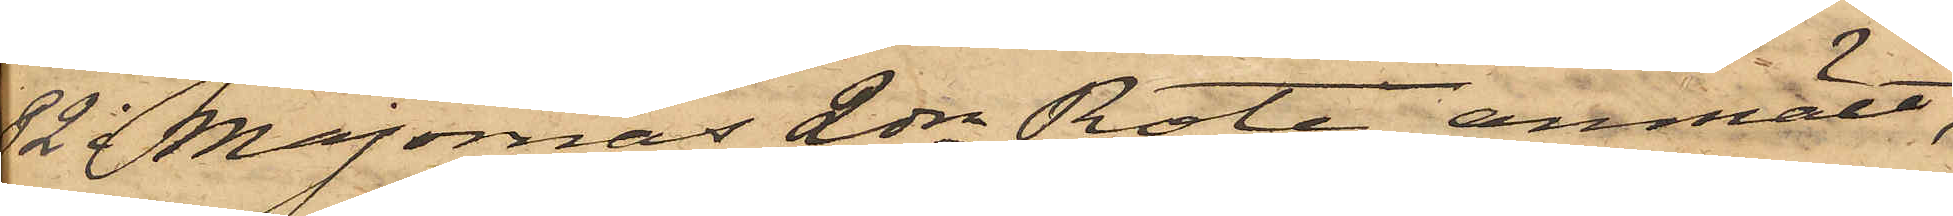82 Majornas 2dra Rote, anmält,
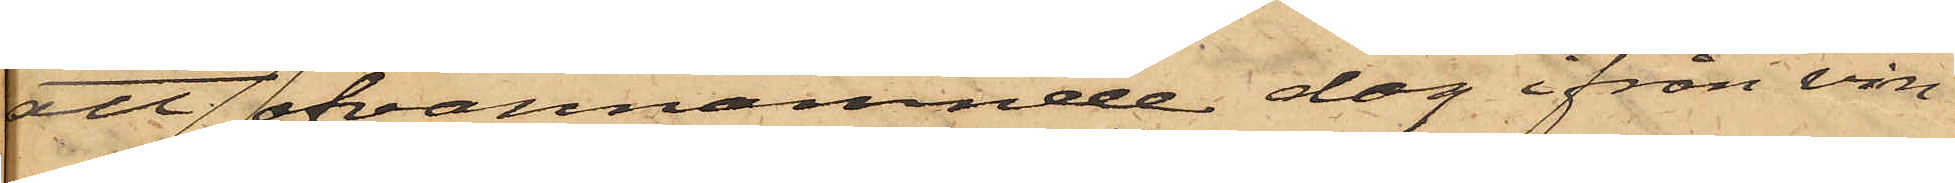att ofvannämnde dag ifrån vin¬
